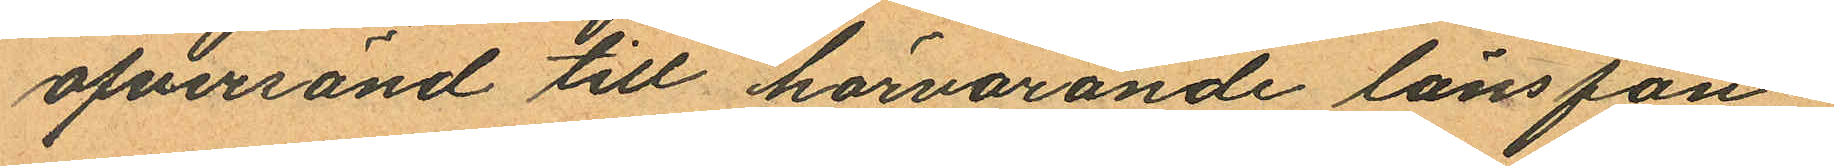öfversänd till härvarande länsfän¬
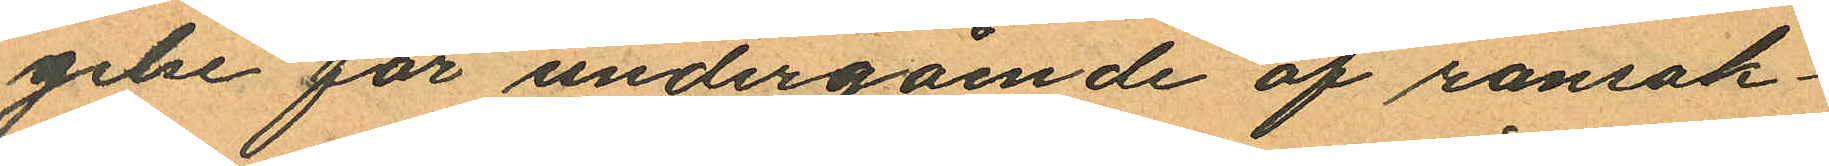gelse för undergående af ransak¬
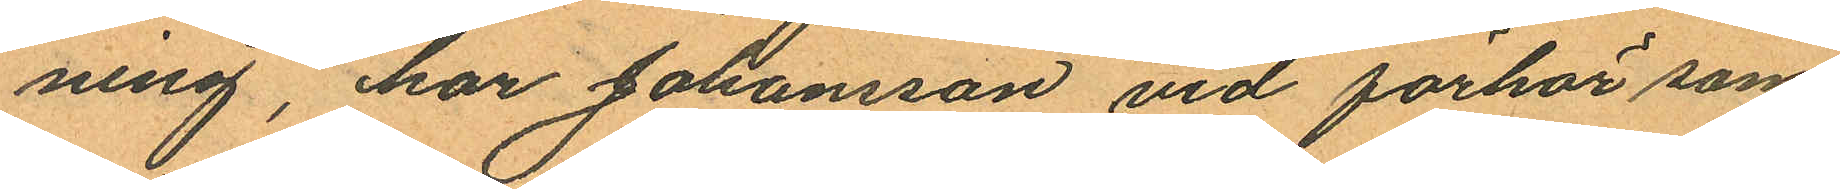ning, har Johansson vid förhör som
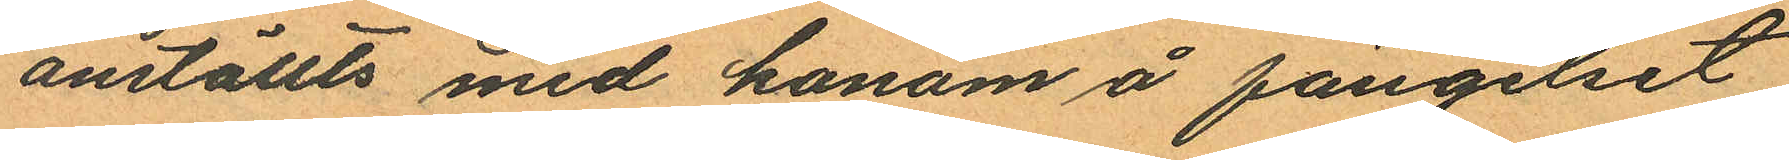anställts med honom å fängelset
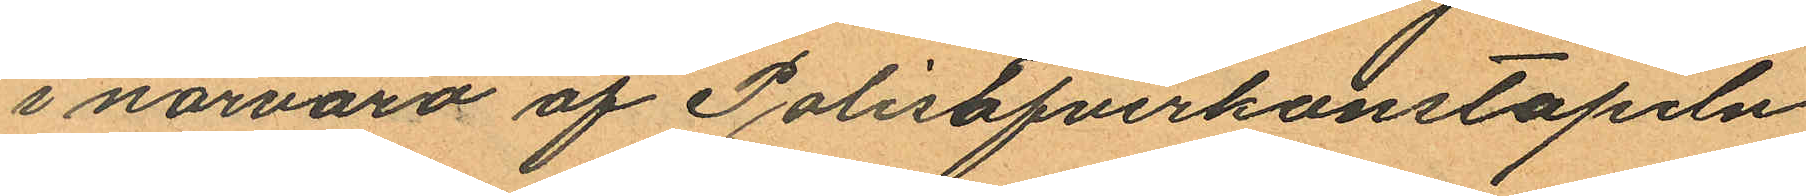i närvaro af Polisöfverkonstapeln
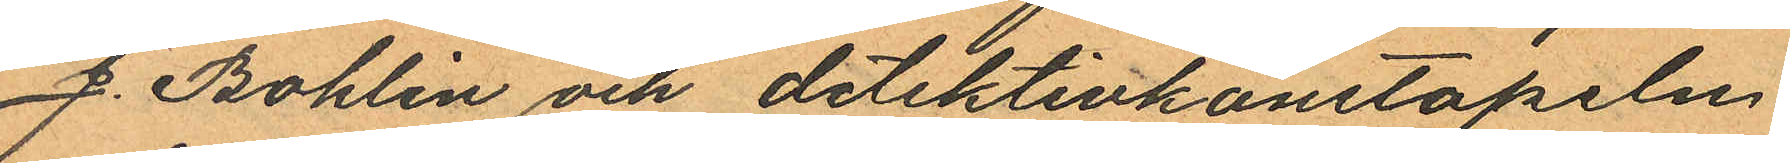J. Bohlin och detektivkonstapeln
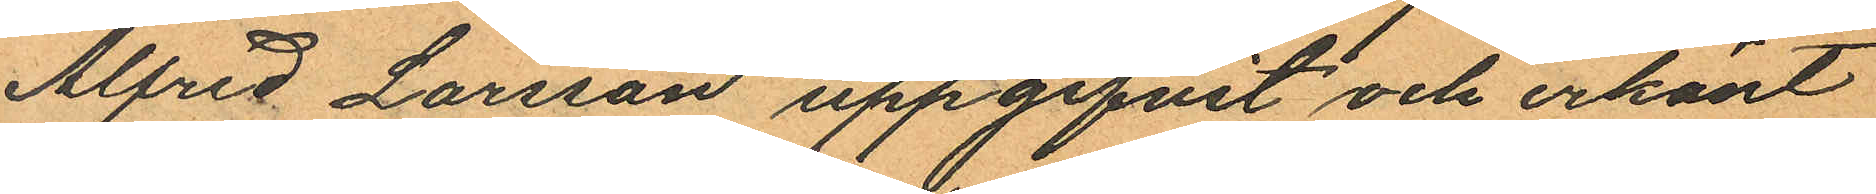Alfred Larsson uppgifvit och erkänt
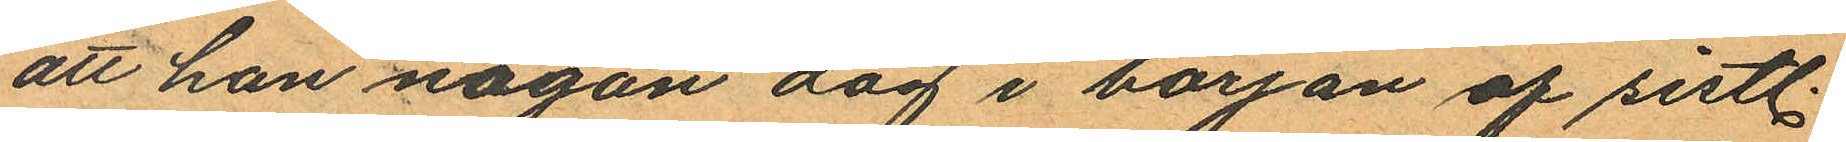att han någon dag i början af sistl.
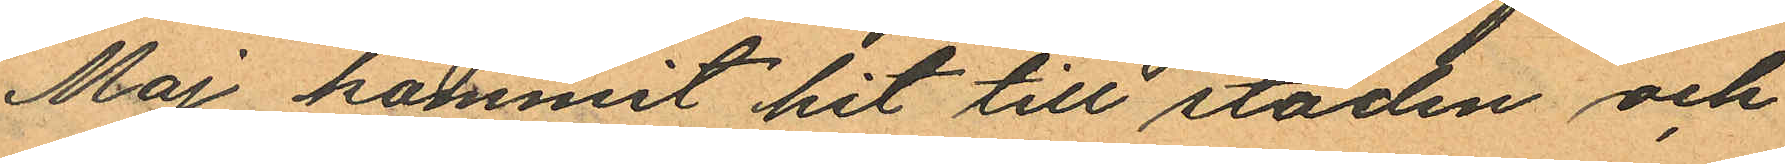Maj kommit hit till staden och
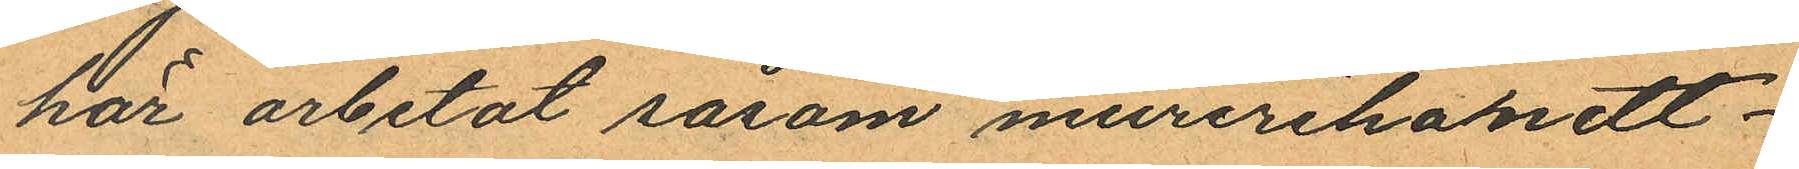har arbetat såsom murerihandt¬
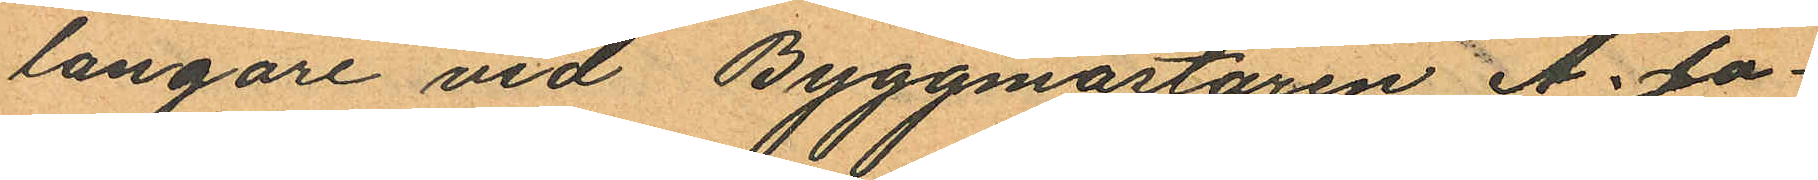langare vid Byggmästaren A. Jo¬
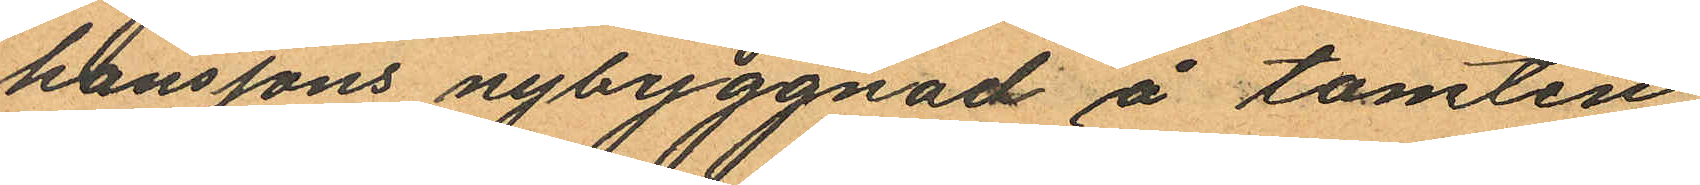hanssons nybyggnad å tomten
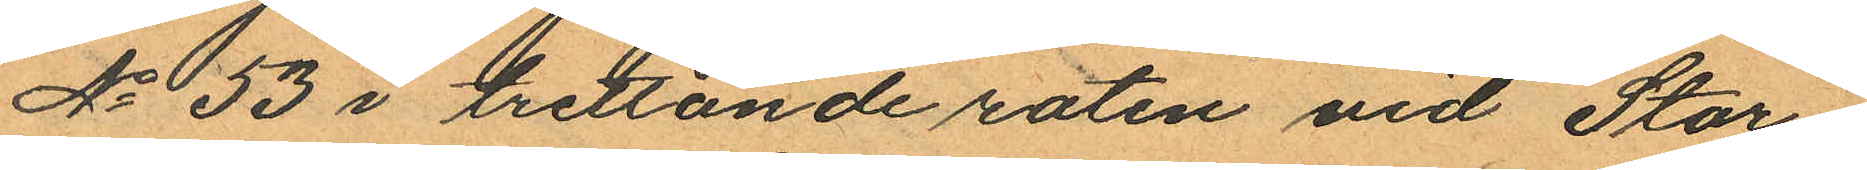No 53 i trettonde roten vid Stor¬
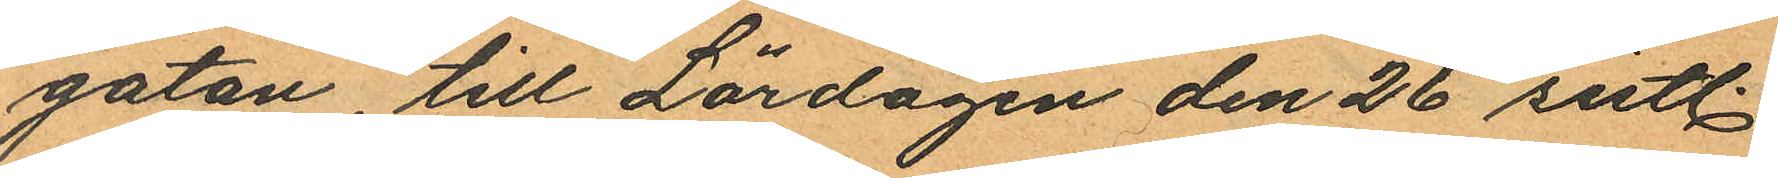gatan, till Lördagen den 26 sistl.
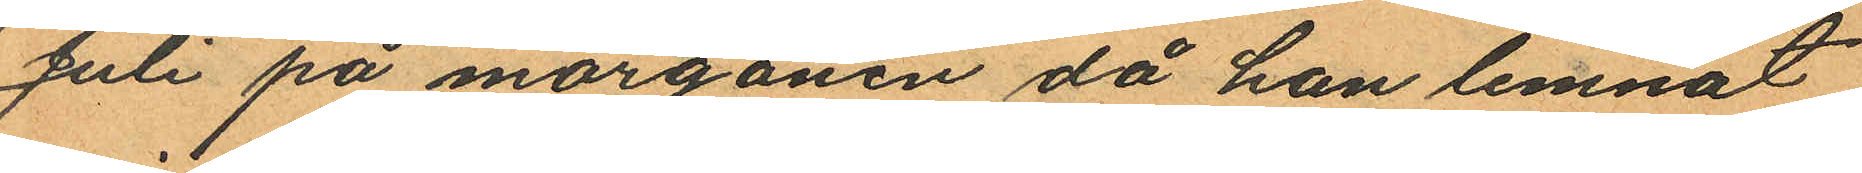Juli på morgonen då han lemnat
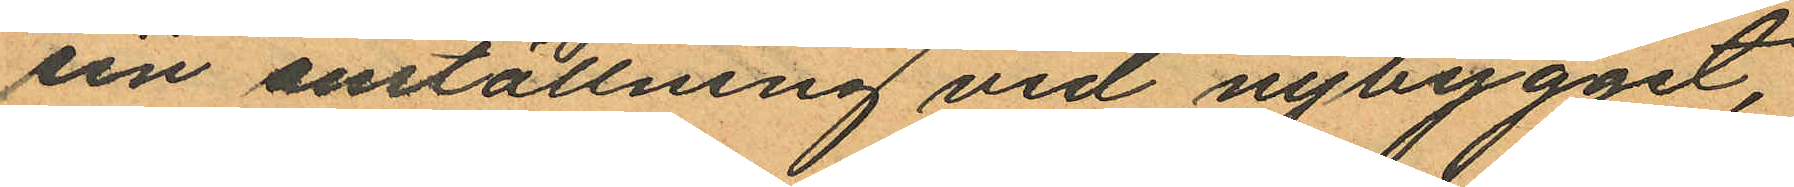sin anställning vid nybygget,
